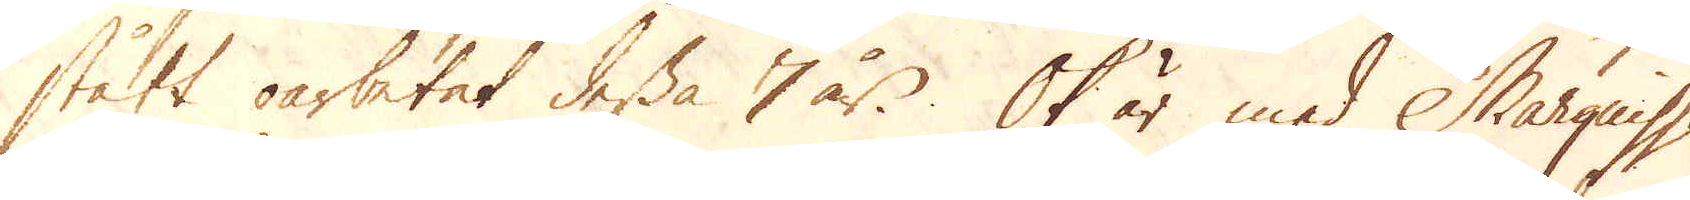stått oarbetat dessa 7 år. Ok är med Marguisse
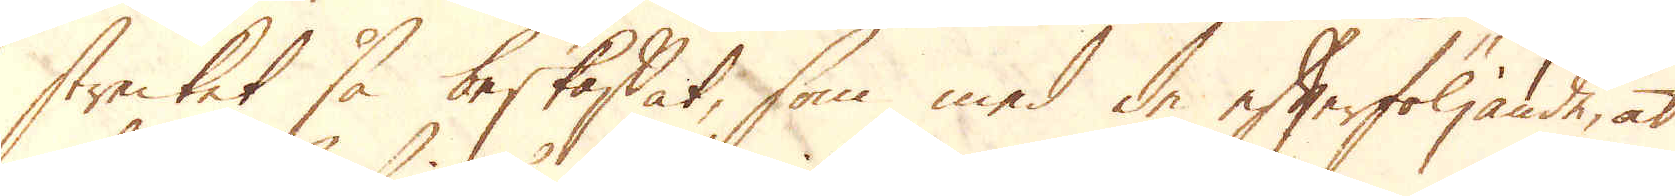strecket så beskaffat, som med de efterföljande, at
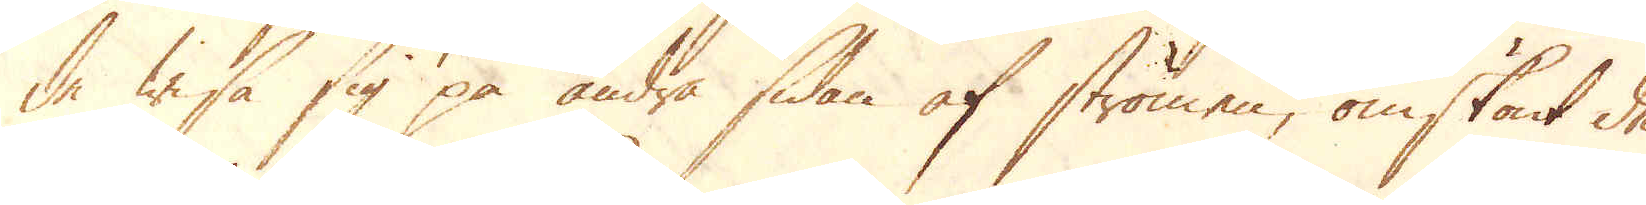de wisa sig på andra sidan af strömen, omskönt de
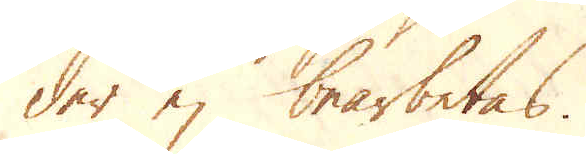der ej bearbetas.
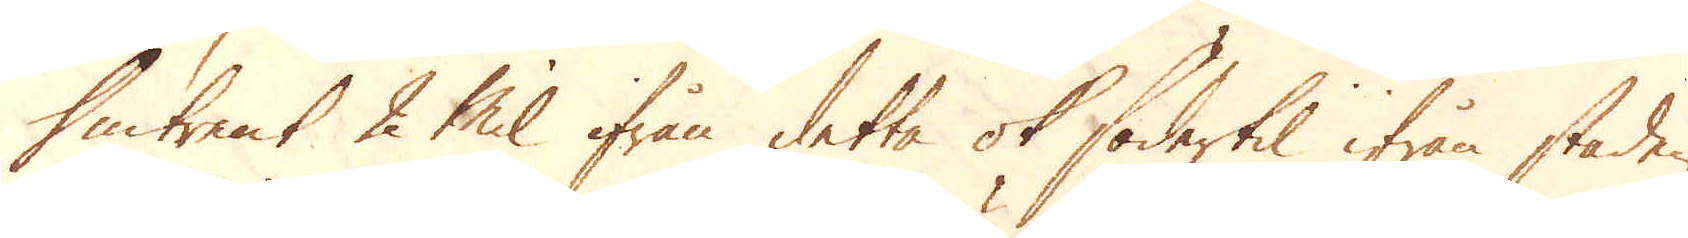Omtrent 2 Mil ifrån detta ok södertil ifrån staden
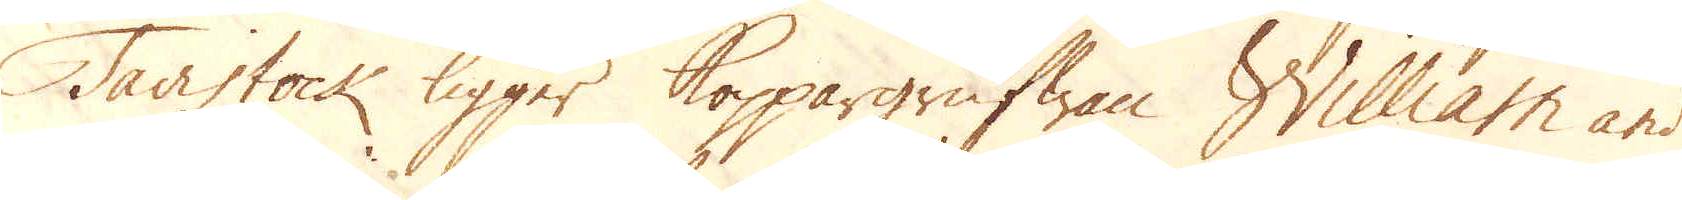Tavistock ligger Koppargrufwan William and
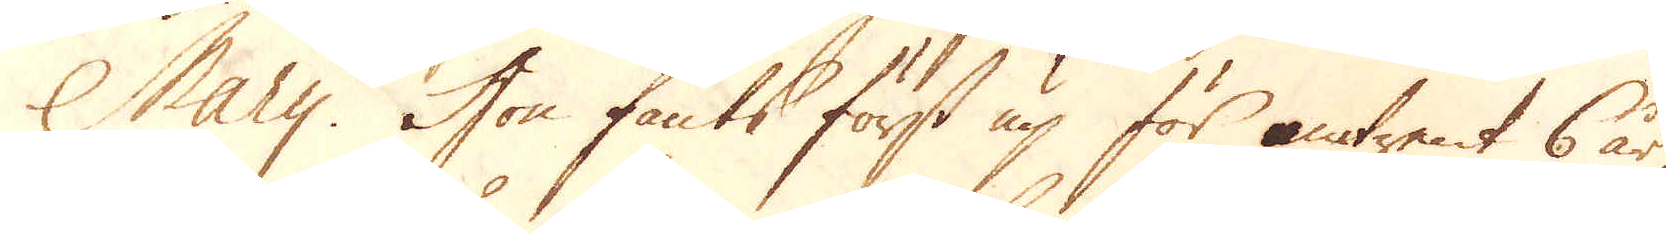Mary. Hon fants först up för omtrent 6 år
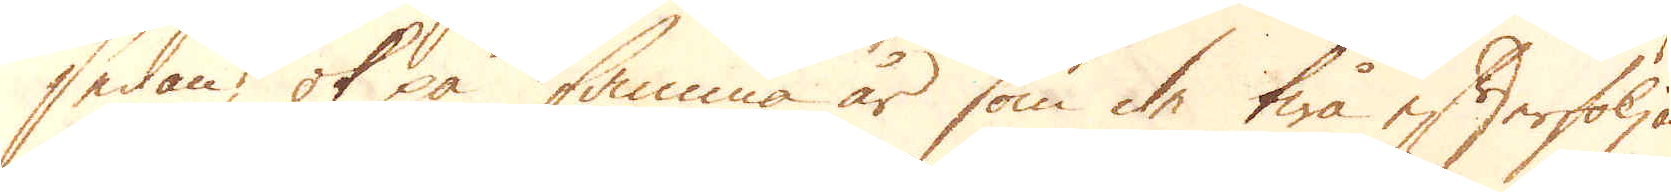sedan, ok på samma år som de twå efterföljan-
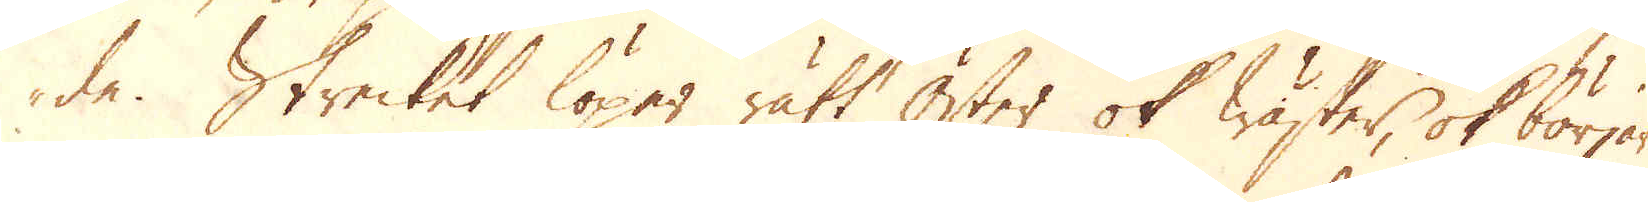de. Strecket löper rätt Öster ok Wäster, ok börjar
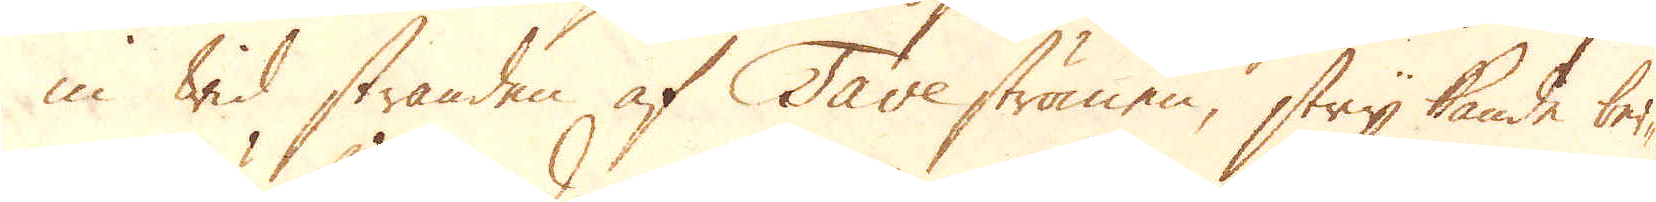in wid stranden af Tave strömen, strykande ber-
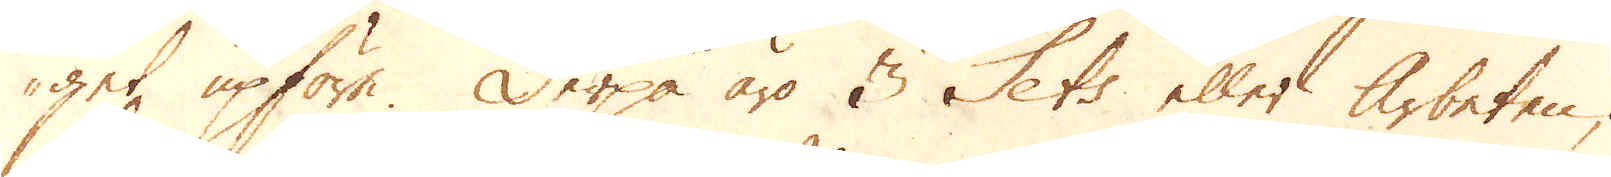get upföre. Derpå äro 3 Sets eller Arbeten;
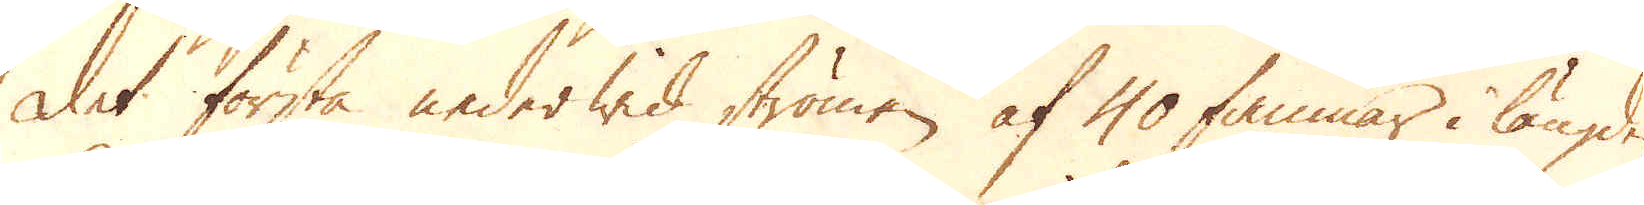det första neder wid strömen af 40 famnar i längden
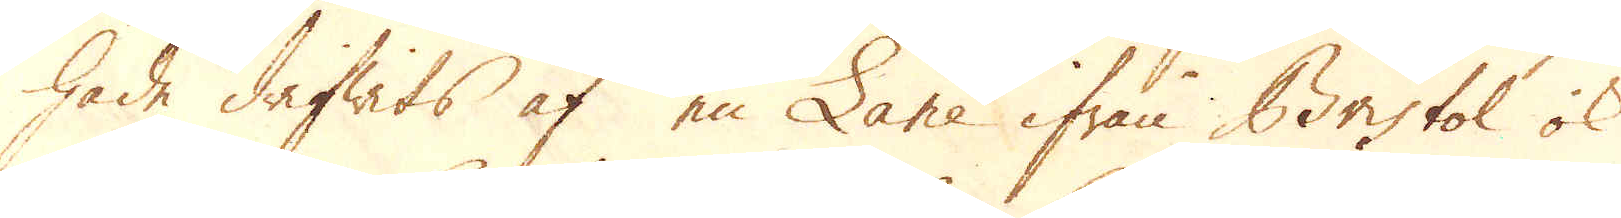hade drifwits af en Lane ifrån Bristol ok
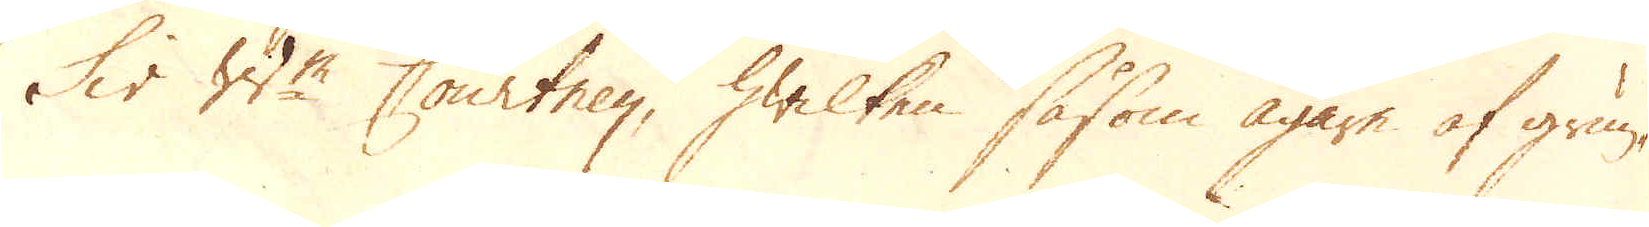Sir W:m Courtney, hwilken såsom ägare af grun-
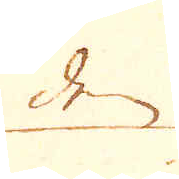den
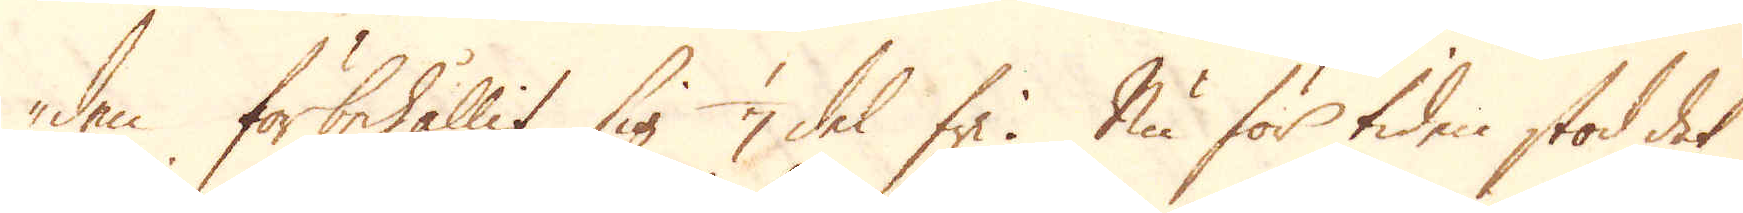den förbehållit sig 1/7 del fri. Nu för tiden stod det
